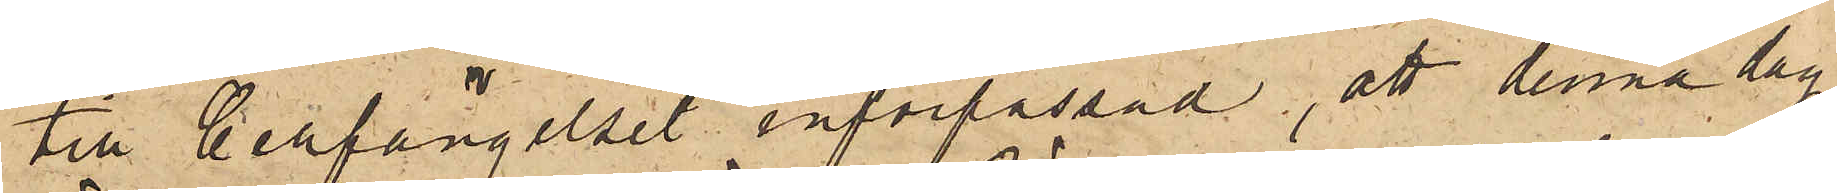till Cellfängelset införpassad, att denna dag
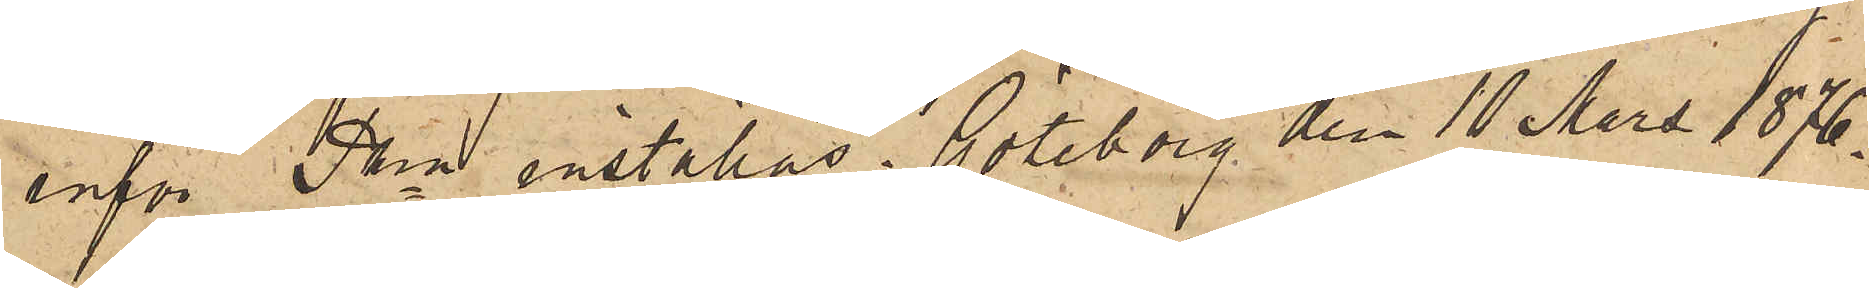inför Pkn inställas. Göteborg den 10 Mars 1876.
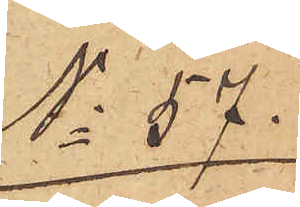No 57.
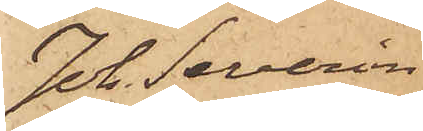Joh. Severin
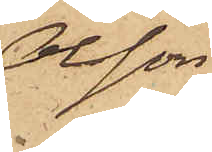Olsson
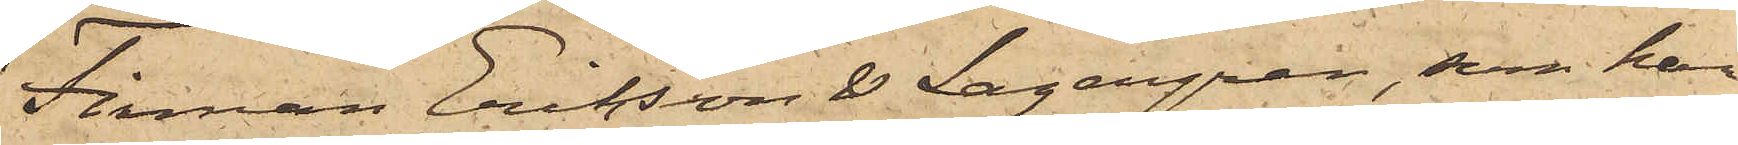Firman Erikson & Lagergren, som har
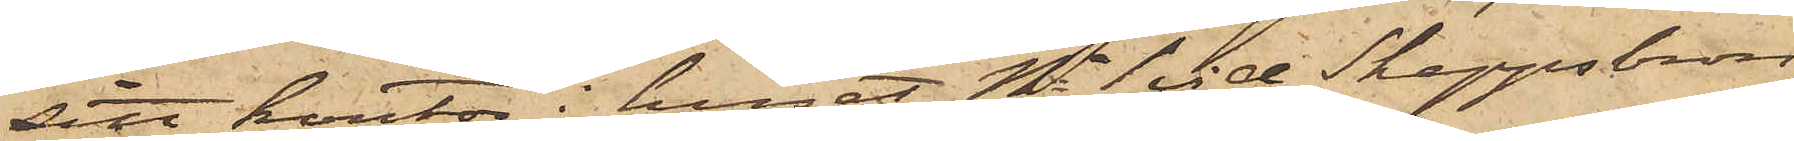sitt kontor i huset No 1 vid Skeppsbron,
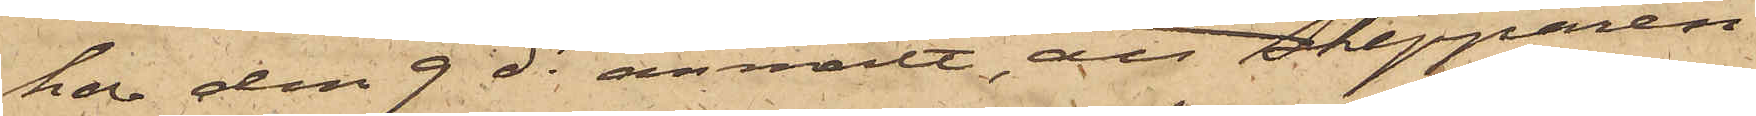har den 9 ds anmält, att skepparen
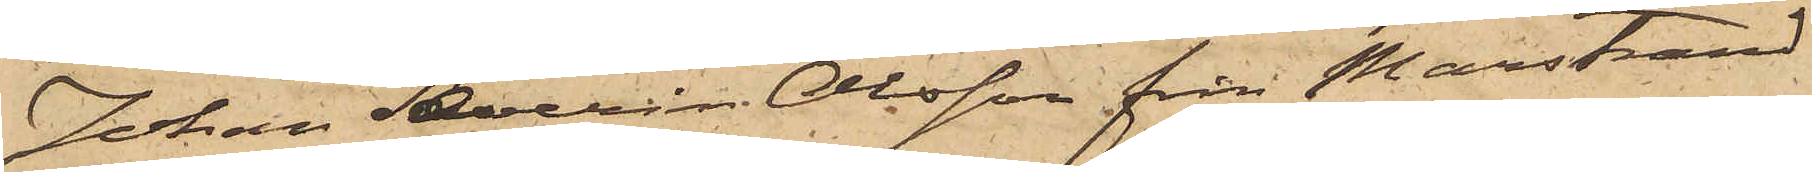Johan Severin Olsson från Marstrand,
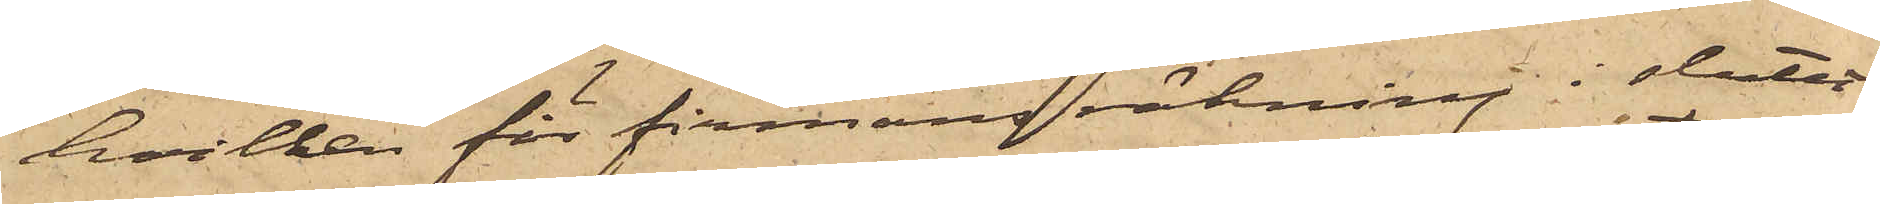hvilken för firmans räkning i slutet
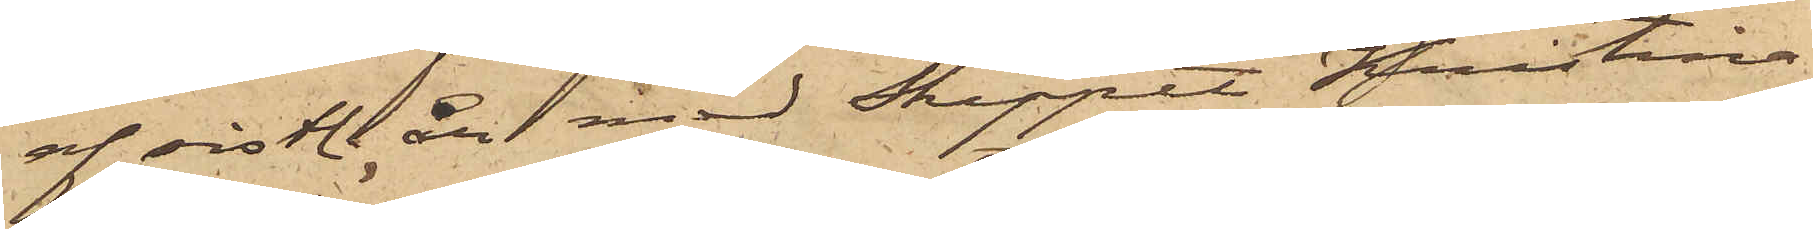af sistl. år med Skeppet Kristina
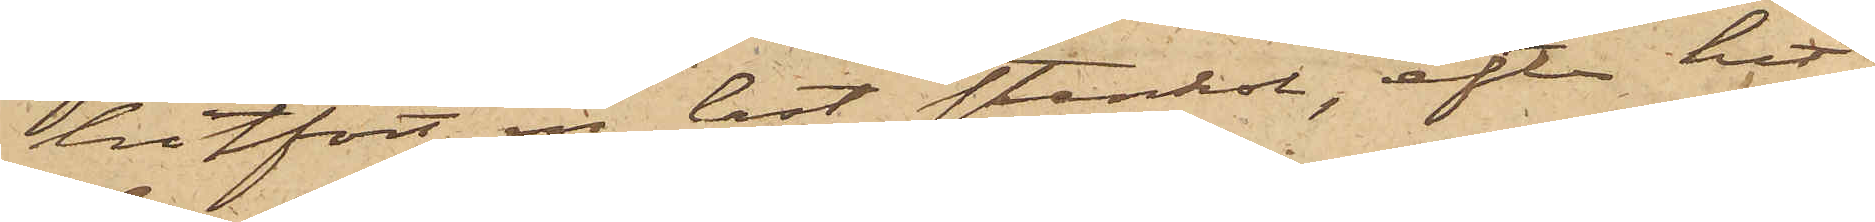hitfört en last stenkol, efter hit¬
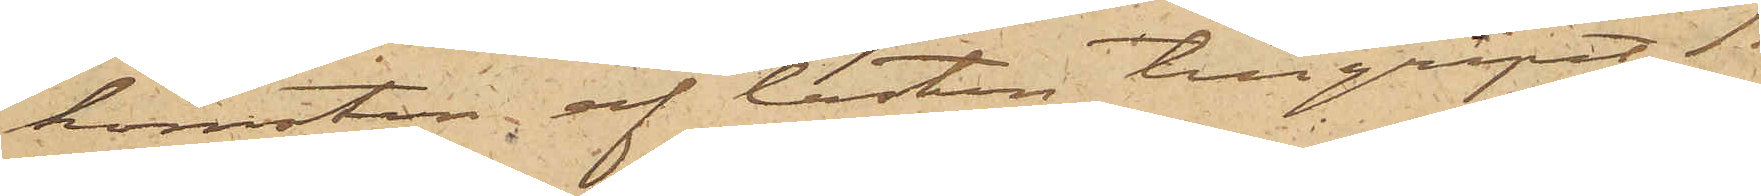komsten, af lasten tillgripit:
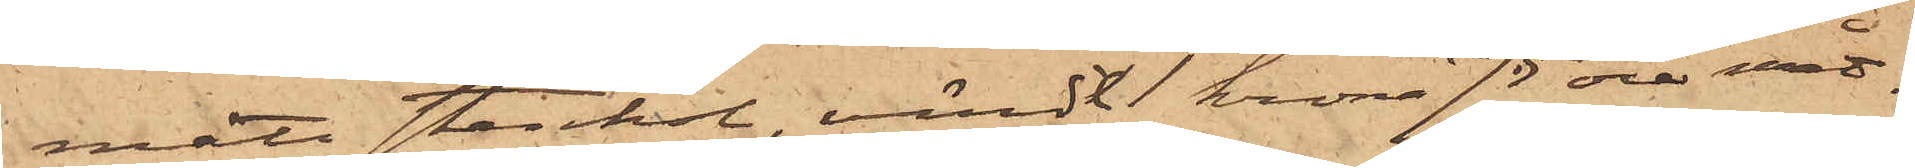mått stenkol, värdt  1 krona 75 öre måt¬
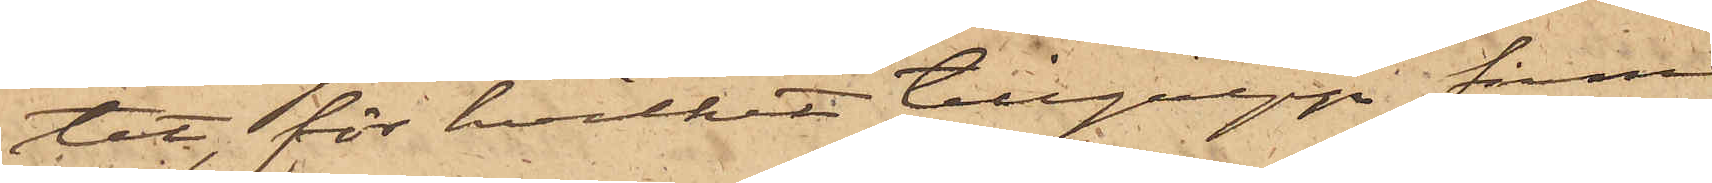tet, för hvilket tillgrepp firman 
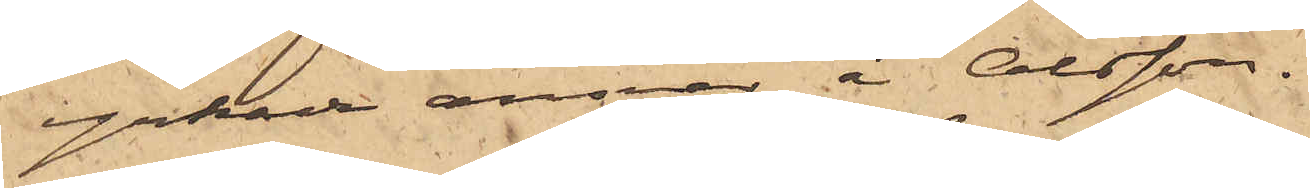yrkade ansvar å Olsson.
